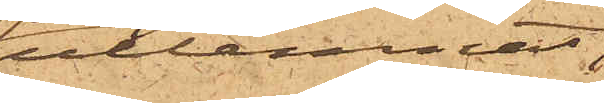utlemnat,
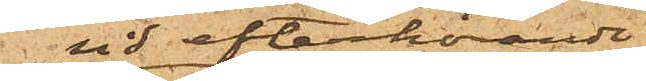vid efterhörande
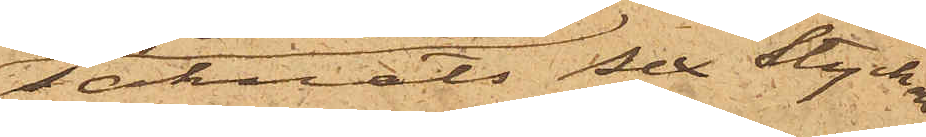saknats sex stycken
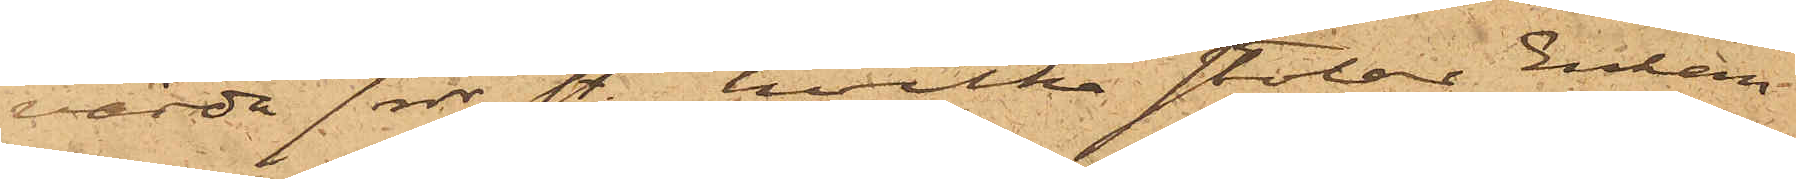värde 7 rdr sty., hvilka stolar Enkan
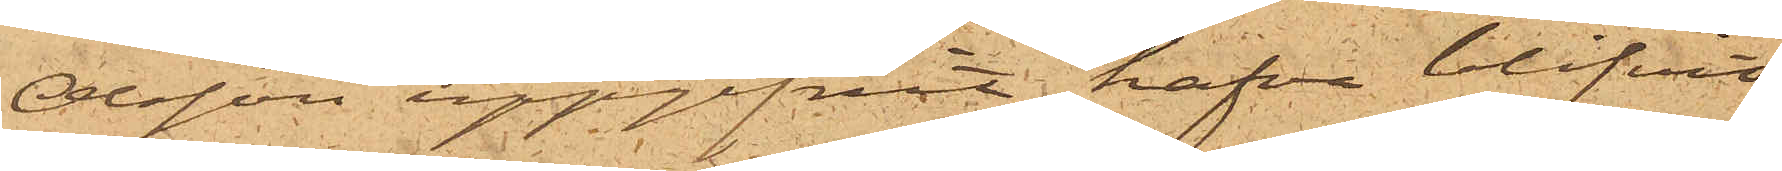Olsson uppgifvit hafva blifvit
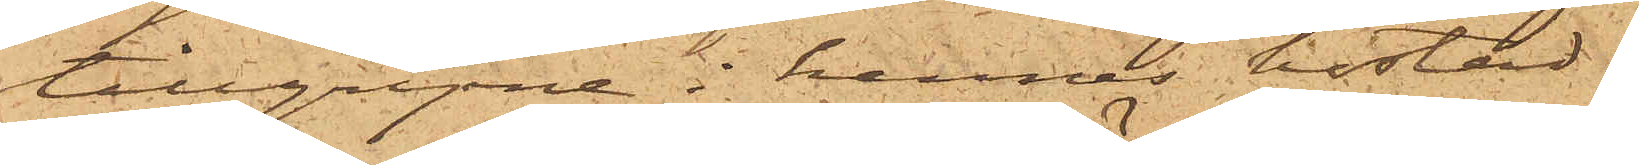tillgripne i hennes bostad.
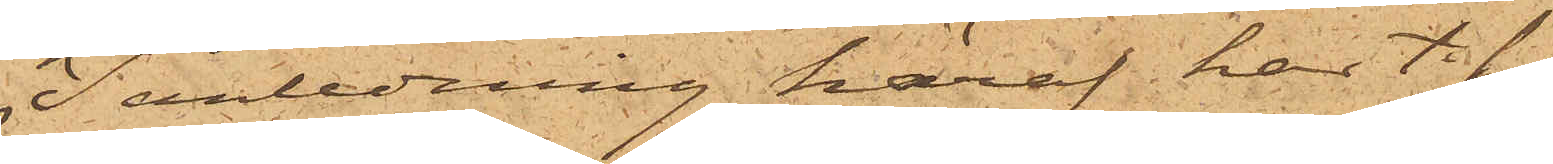I anledning häraf har t.f.
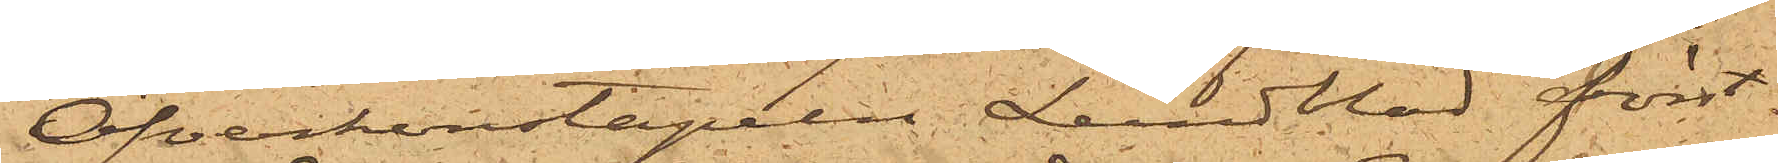Öfverkonstapeln Lundblad först¬
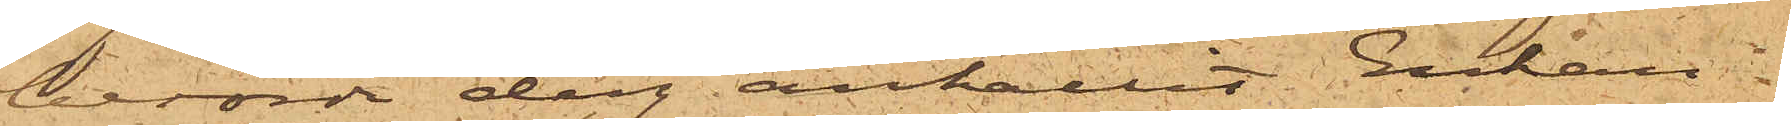berörde dag anhållit Enkan
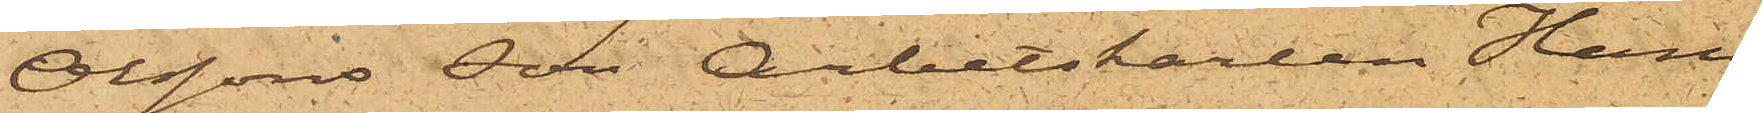Olssons son Arbetskarlen Hans
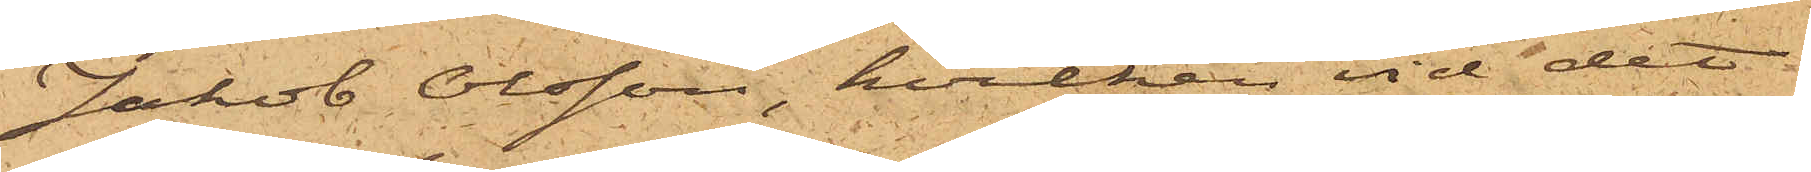Jakob Olsson, hvilken vid det
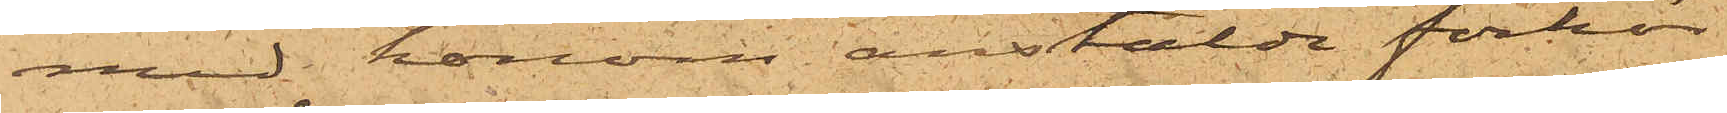med honom anstälde förhör
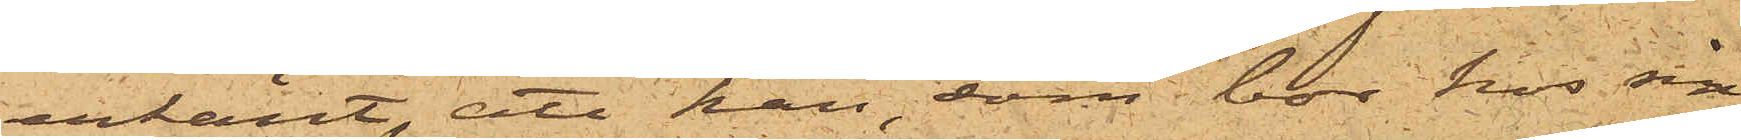erkänt, att han, som bor hos sin
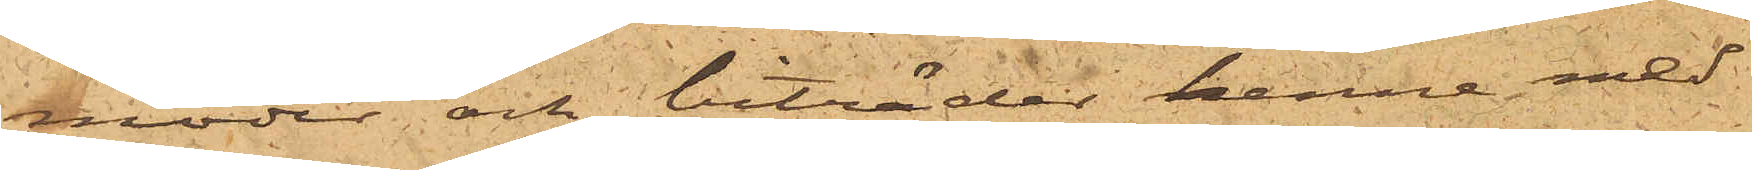moder och biträder henne med
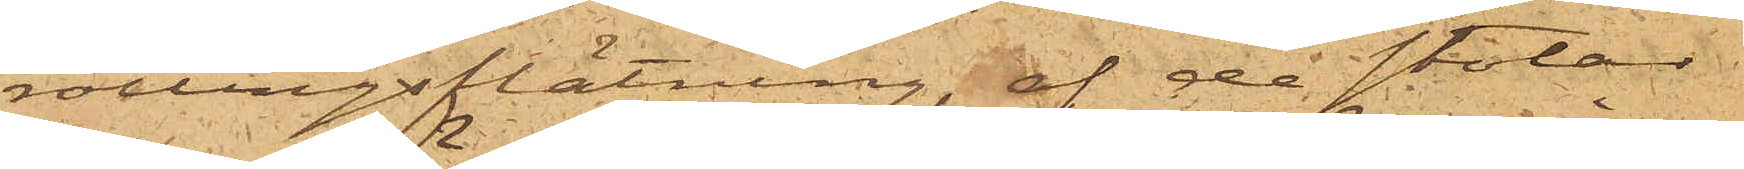rottingsflätning, af de stolar
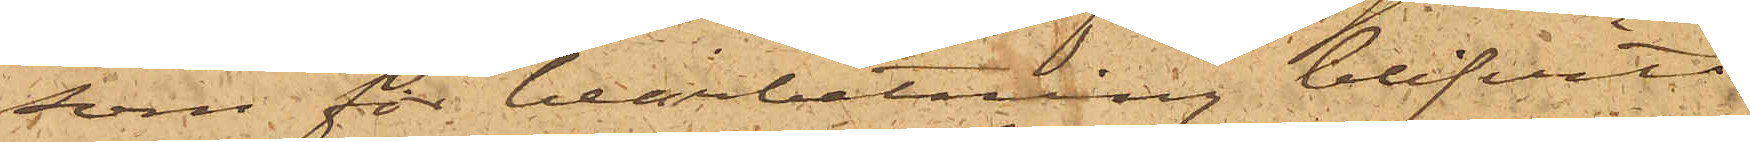som för bearbetning blifvit
